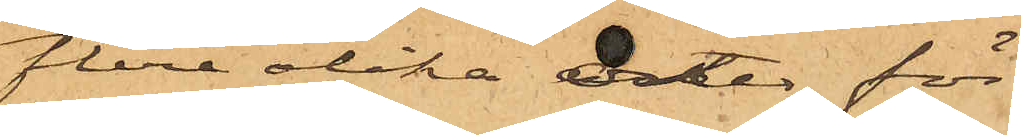flere olika orter för
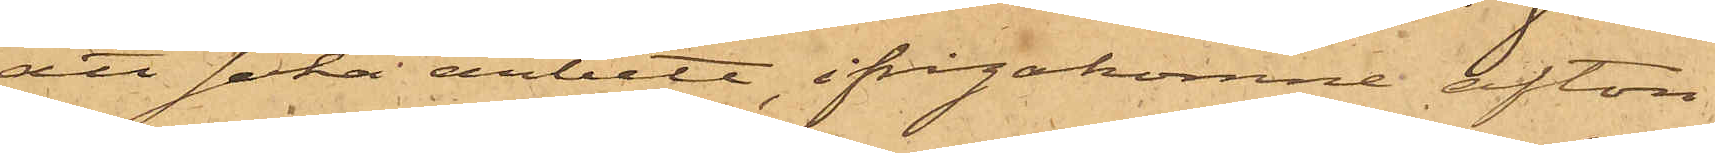att söka arbete, ifrågakomne afton
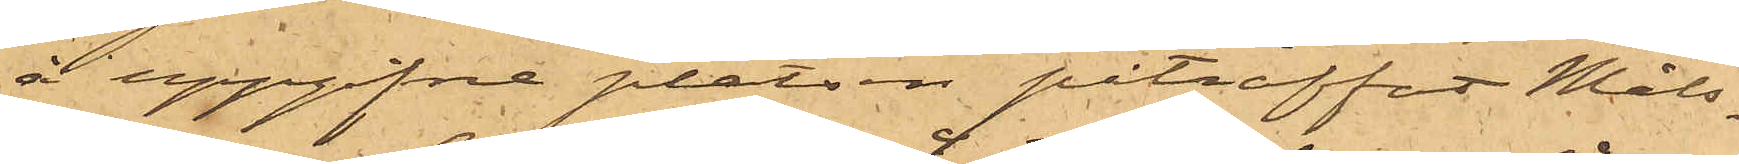å uppgifna platsen påträffat Måls¬
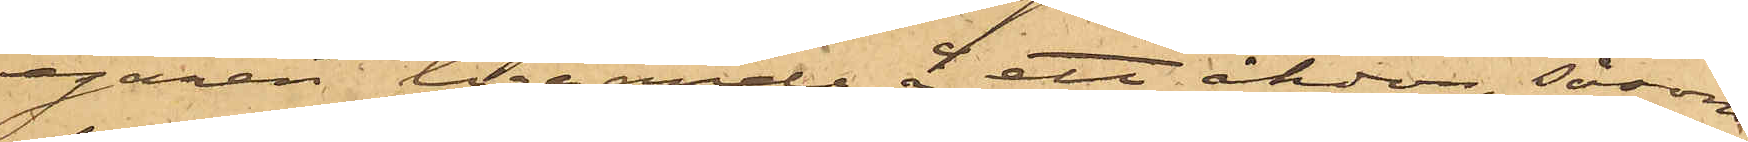egaren liggande å ett åkdon, såsom
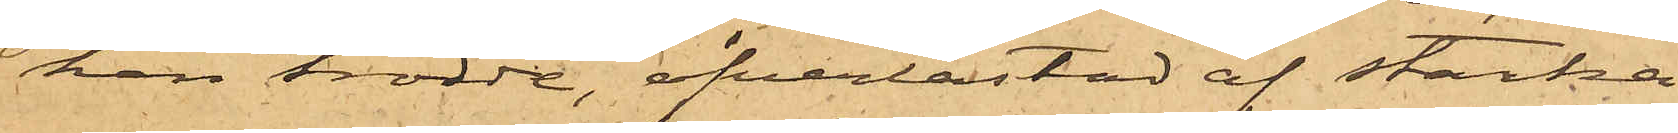han trodde, öfverlastad af starka
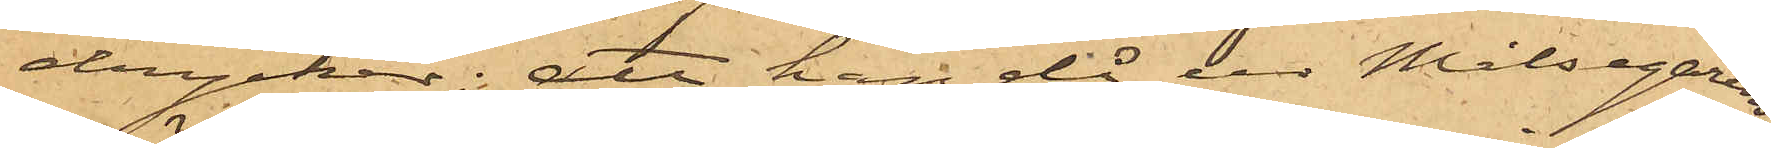drycker; att han då ur Målsegarens
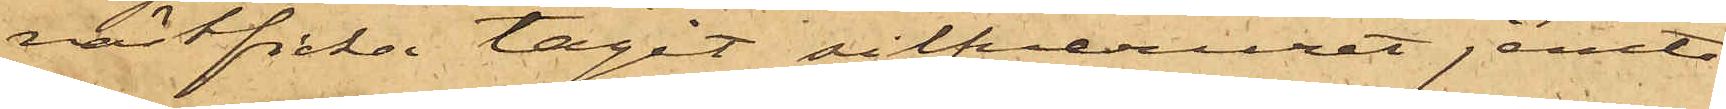västficka tagit silfveruret jemte
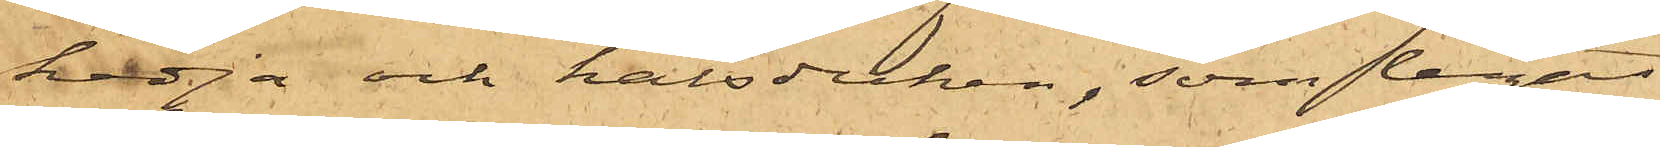kedja och halsduken, som legat
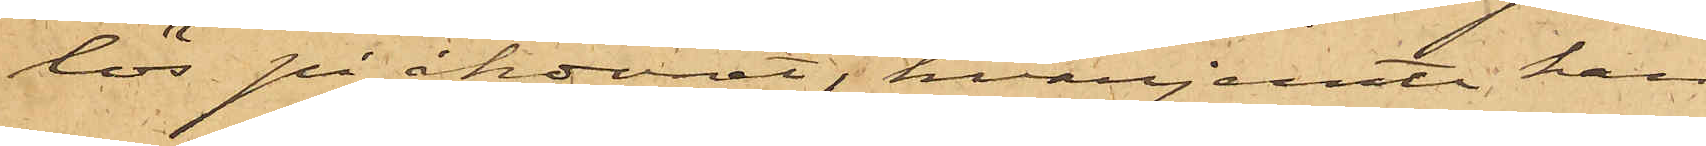lös på åkdonet, hvarjemte han
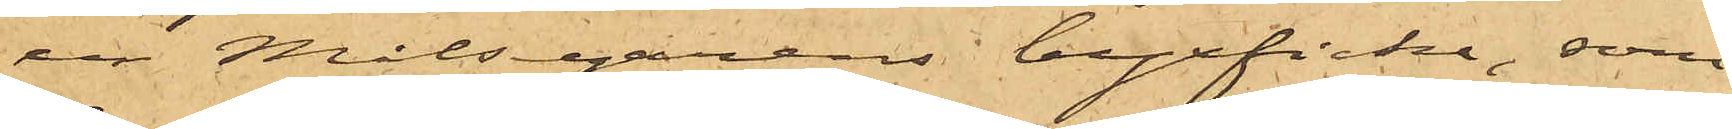ur Målsegarens byxficka, som
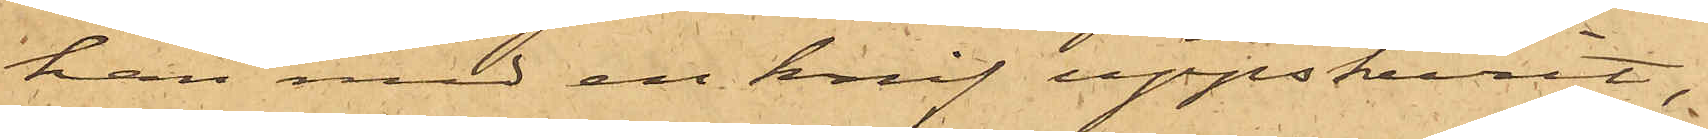han med en knif uppskurit,
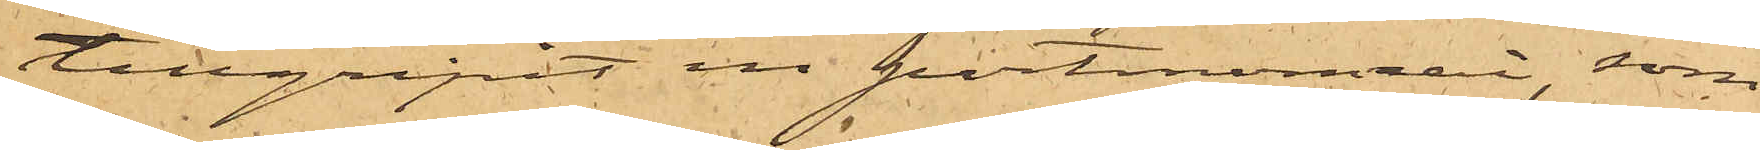tillgripit en portmonnai, som
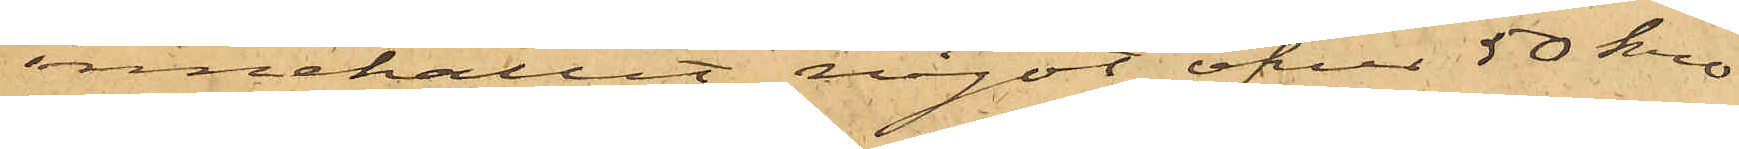innehållit något öfver 50 kro¬
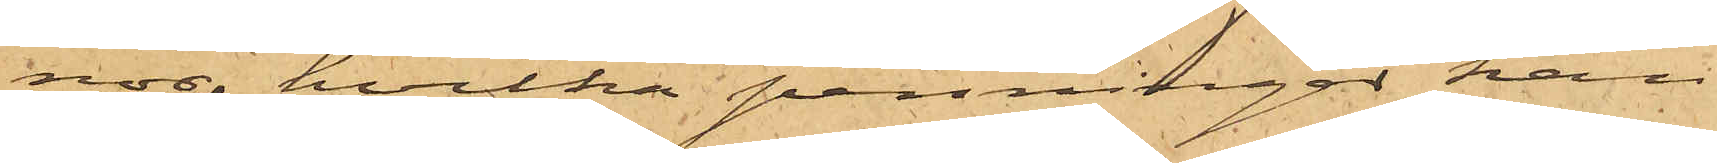nor, hvilka penningar han
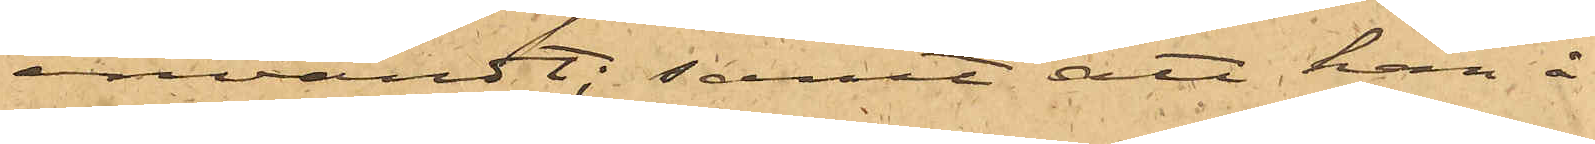användt; samt att han å
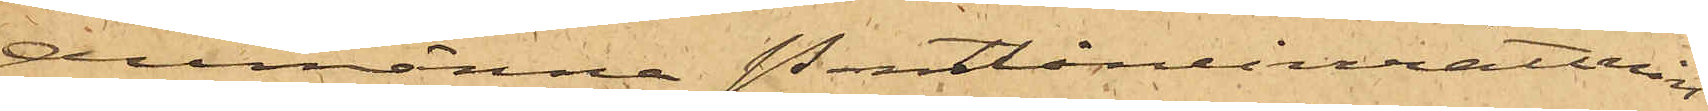Allmänna Pantlåneinrättnin¬
